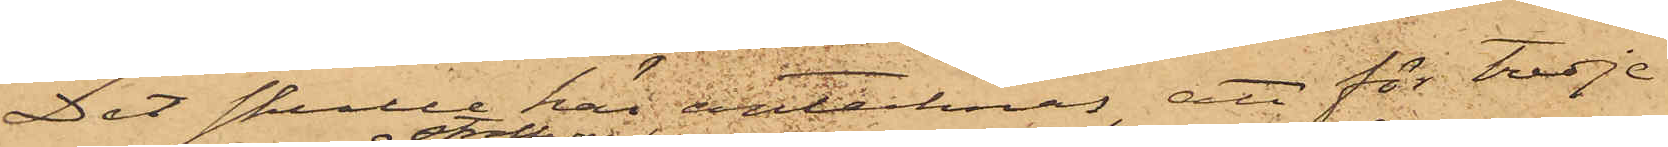Det skulle här antecknas, att för tredje
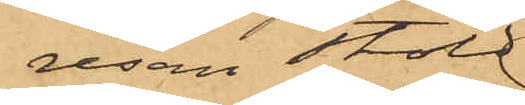resan stöld
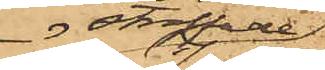straffade
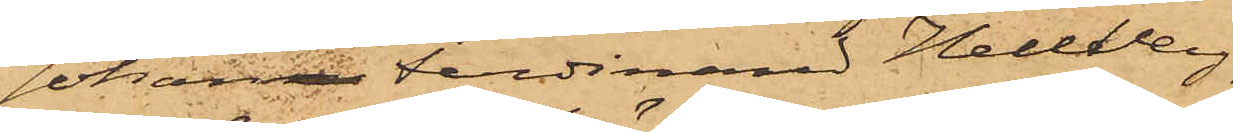Johan Ferdinand Hellberg,
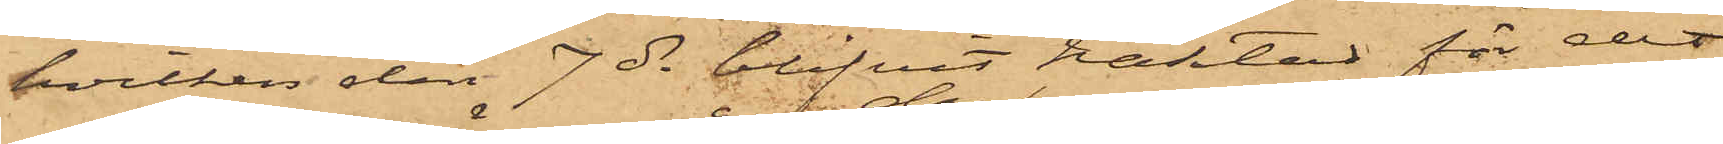hvilken den 7 ds blifvit häktad för det
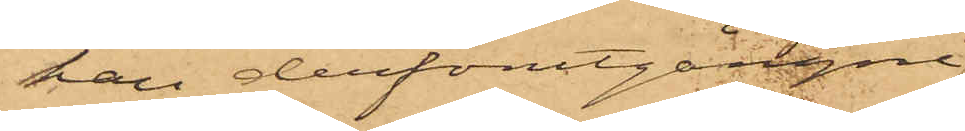han derförutgångne
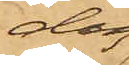dag
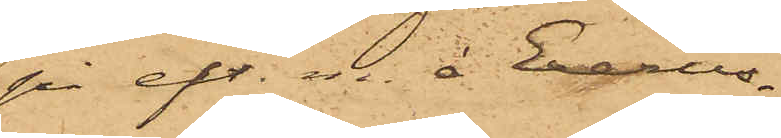på eft.m. å Exercis¬
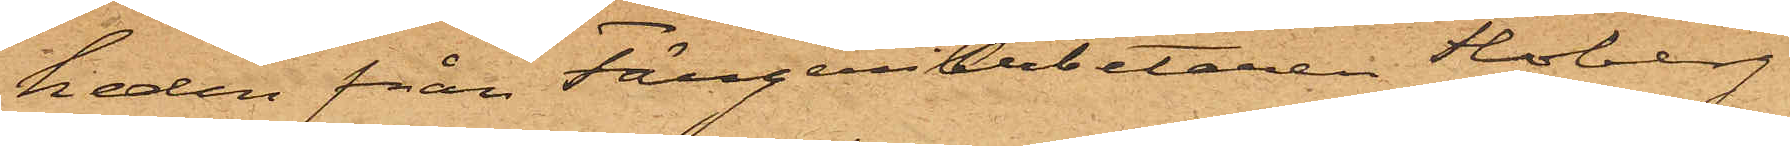heden från Färgeriarbetaren Floberg
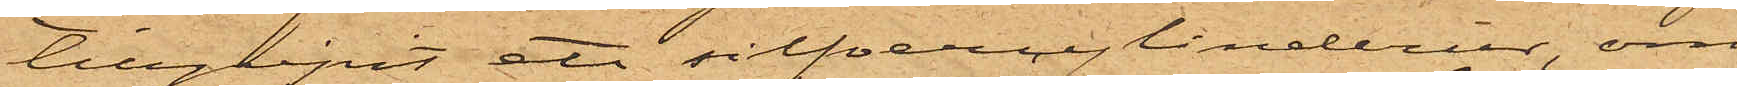tillgripit ett silfvercylinderur, om
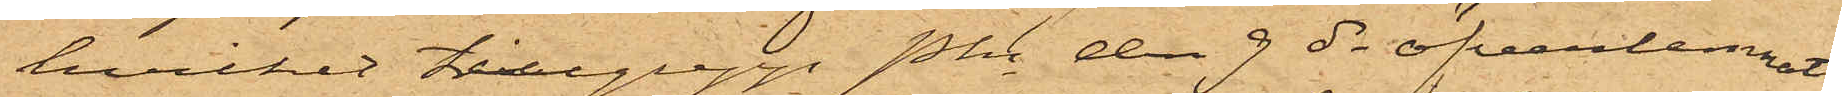hvilket tilllgrepp Pkn den 9 ds öfverlemnat
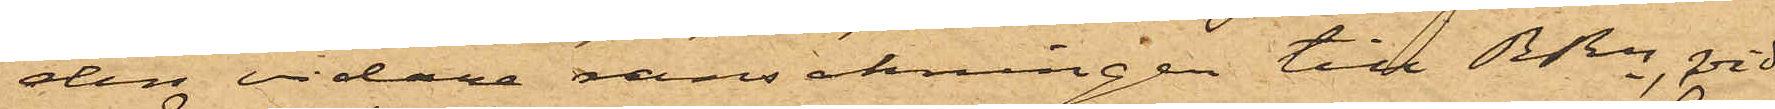den vidare ransakningen till RRn, vid
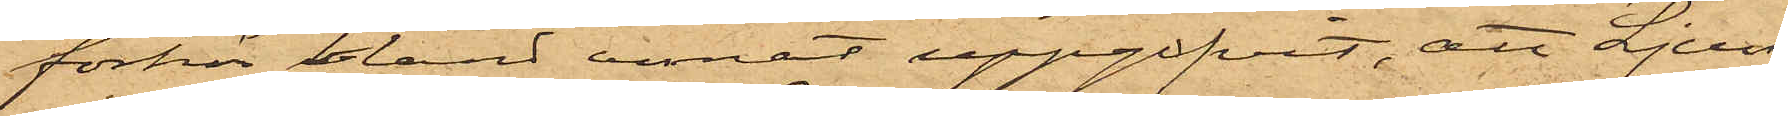förhör bland annat uppgifvit, att Ljung
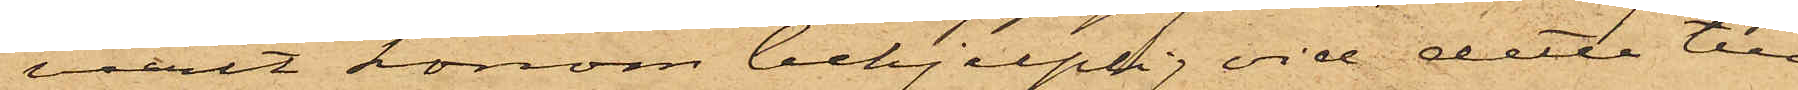varit honom behjelplig vid detta till¬
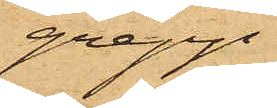grepp.
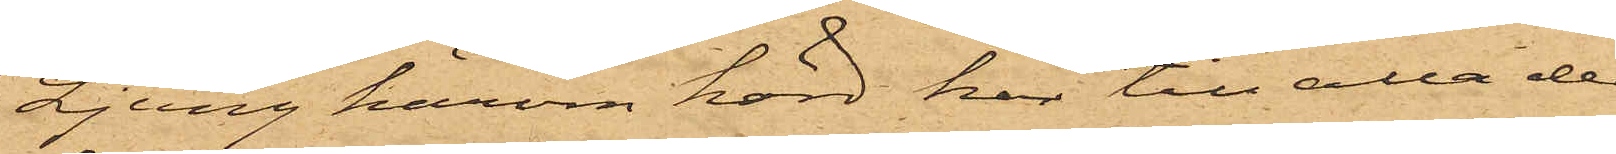Ljung härom hörd har till alla de¬
